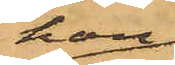han
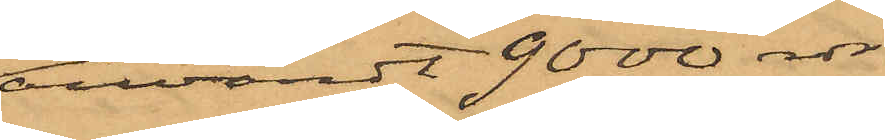användt 9000 rdr
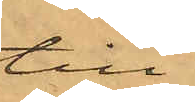till
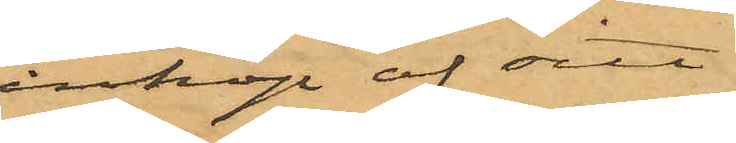inköp af sitt
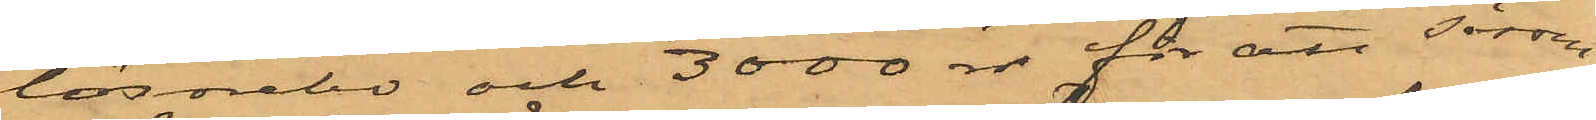lösörebo och 3000 rdr för att såsom
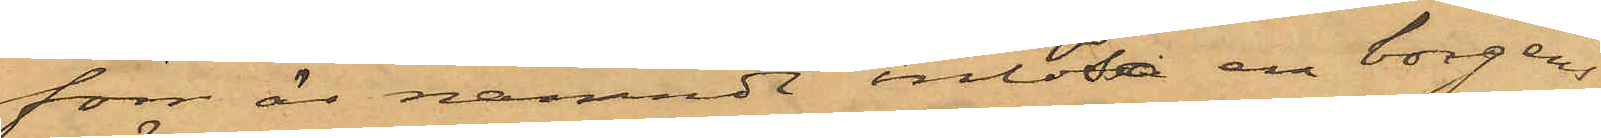förr är nämndt inlösa en borgens¬
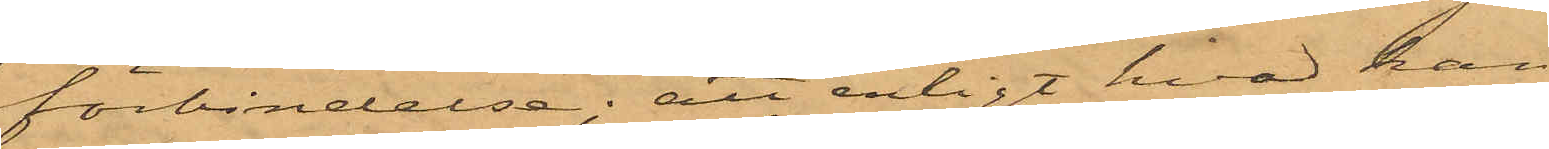förbindelse; att enligt hvad han
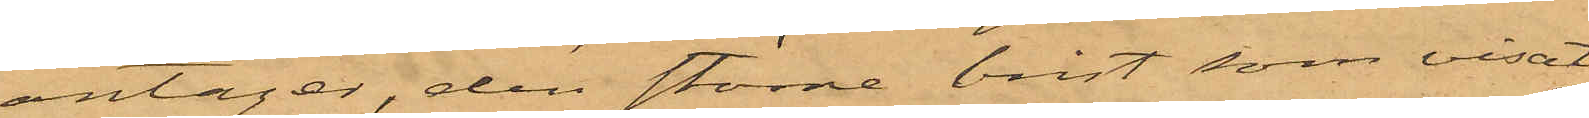antager, den större brist som visat
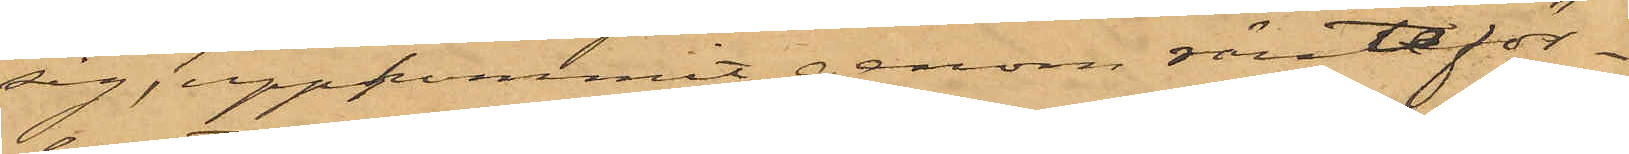sig, uppkommit genom ränteför¬
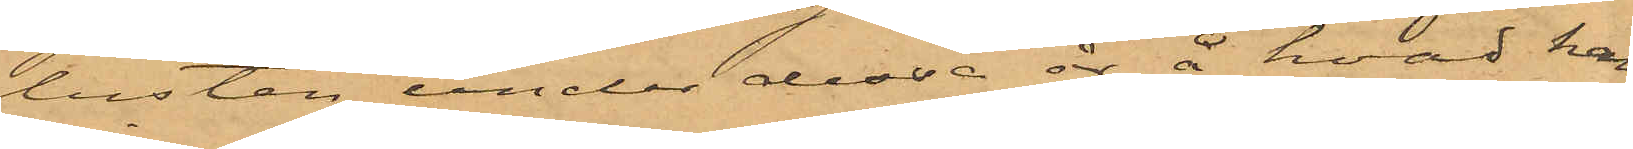lusten under dessa år å hvad han
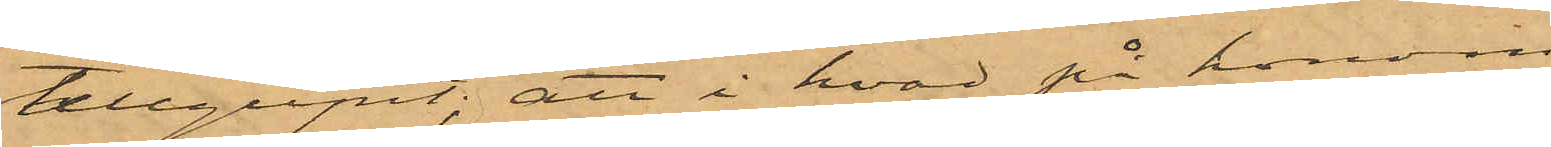tillgripit; att i hvad på honom
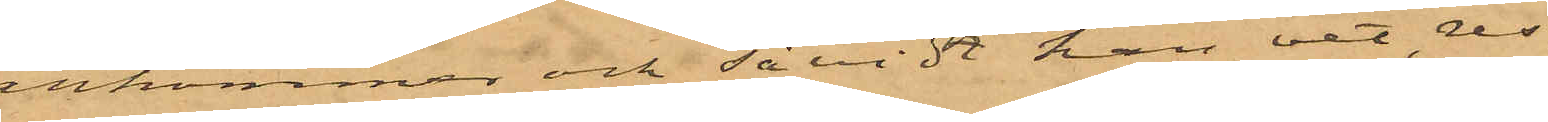ankommer och såvidt han vet, res¬
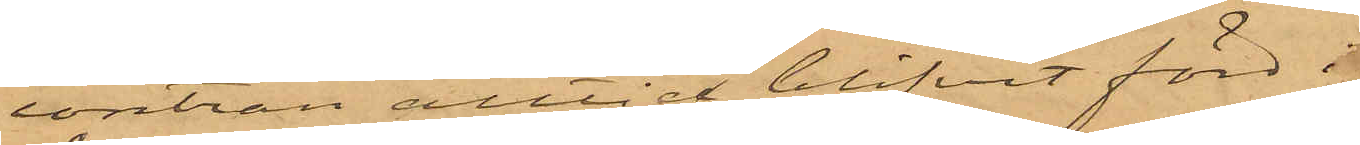contran alltid blifvit förd i
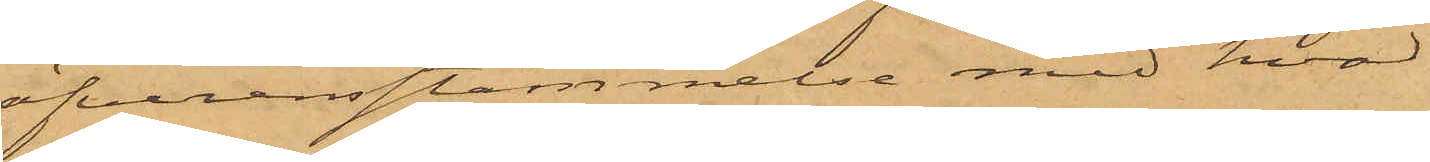öfverensstämmelse med hvad
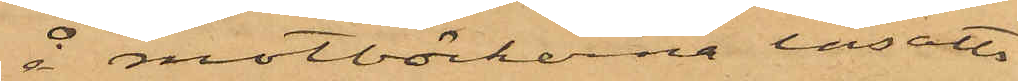å motböckerna insatts
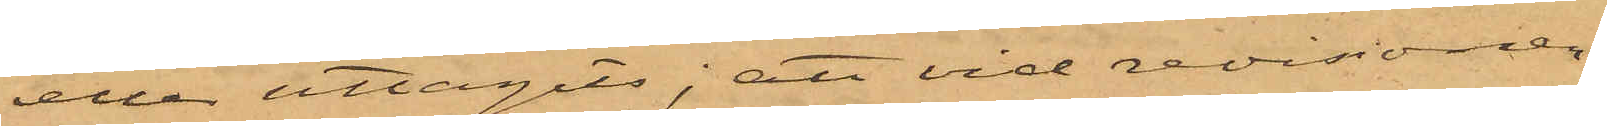eller uttagits; att vid revisionen
